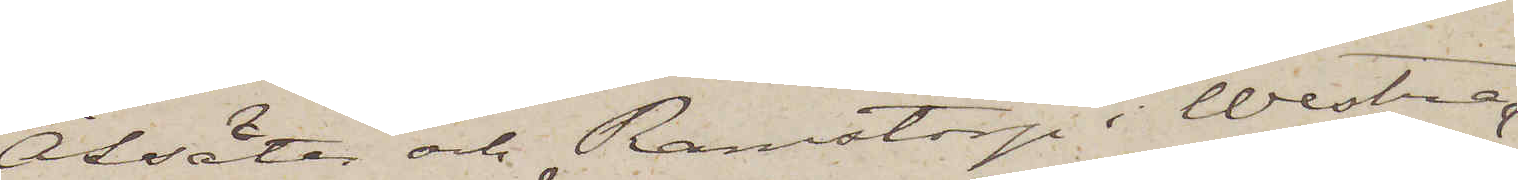Åssäter och Ramstorp i Westra
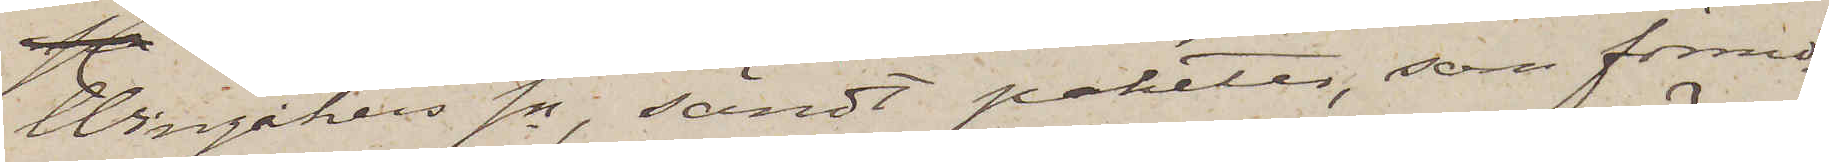Wingåkers sn, sändt paketer, som förmo¬
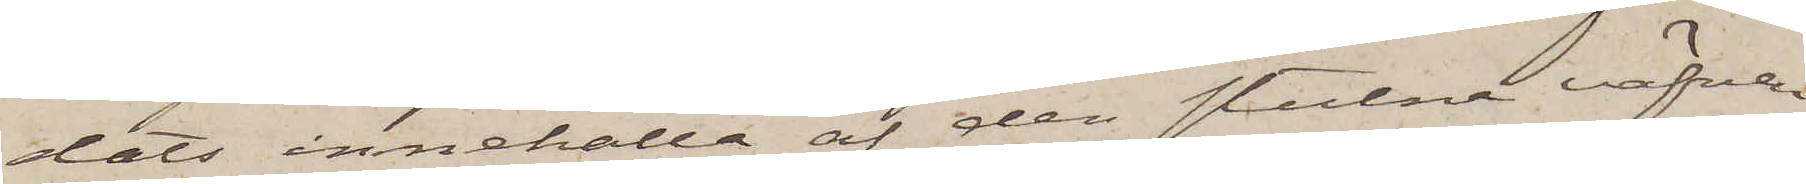dats innehålla af den stulna väfven,
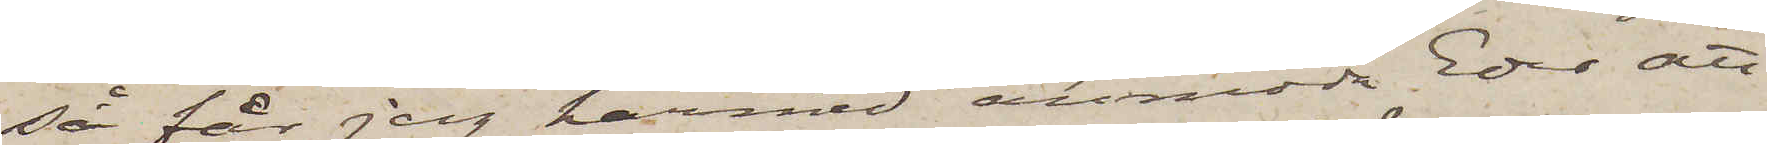så får jag härmed anmoda Eder att
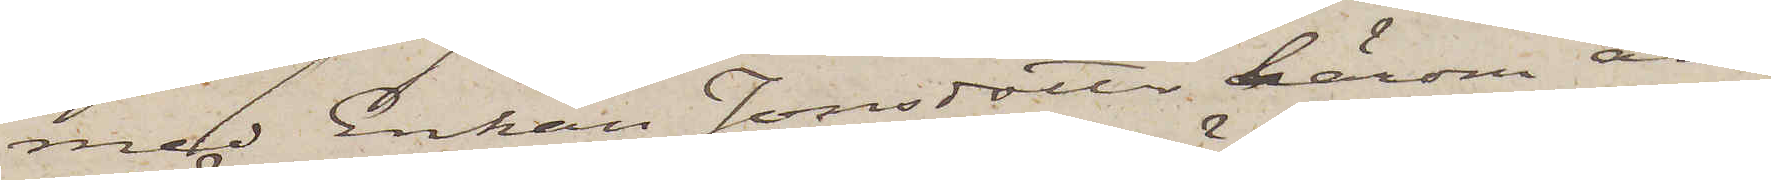med Enkan Jonsdotter härom an¬
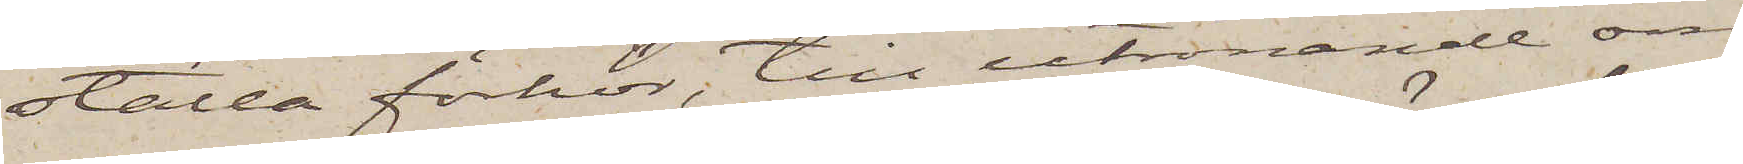ställa förhör, till utrönande om
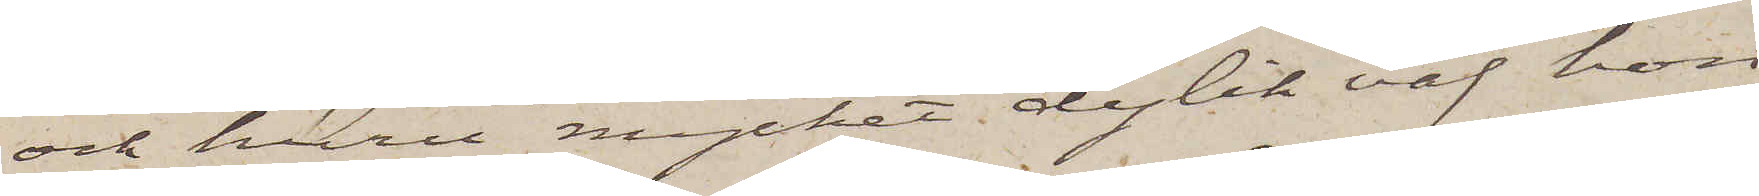och huru mycket dylik väf hon
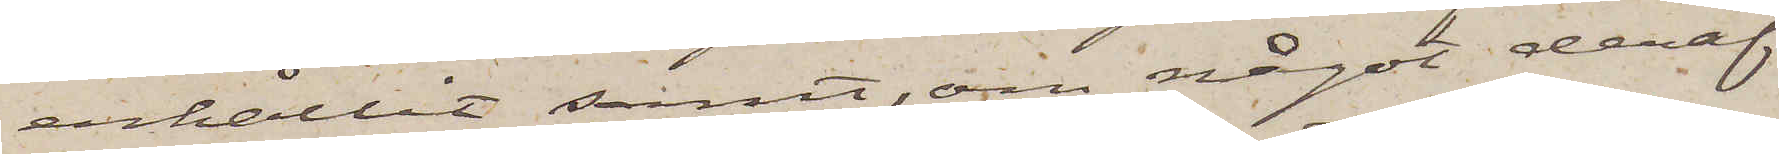erhållit samt, om något deraf
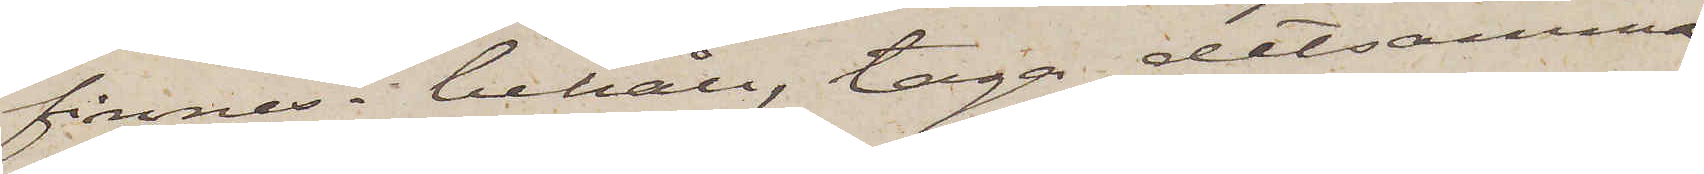finnes i behåll, taga detsamma
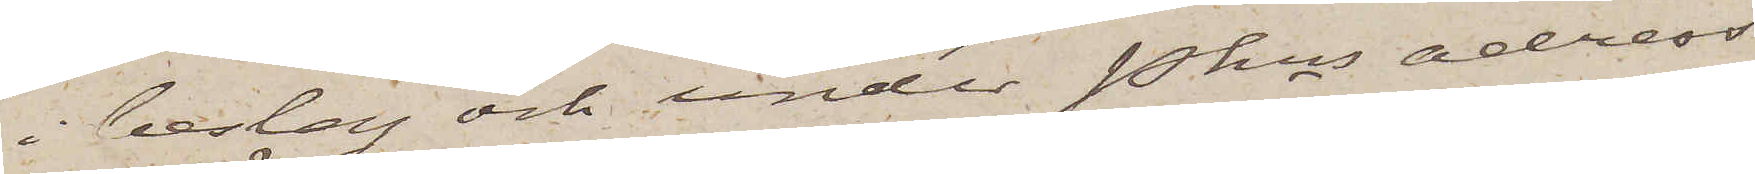i beslag och under Pkns adress
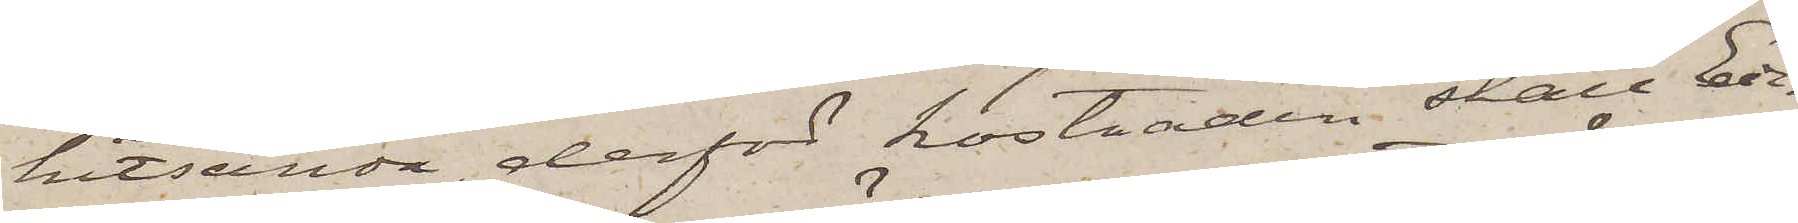hitsända, derför kostnaden skall Eder
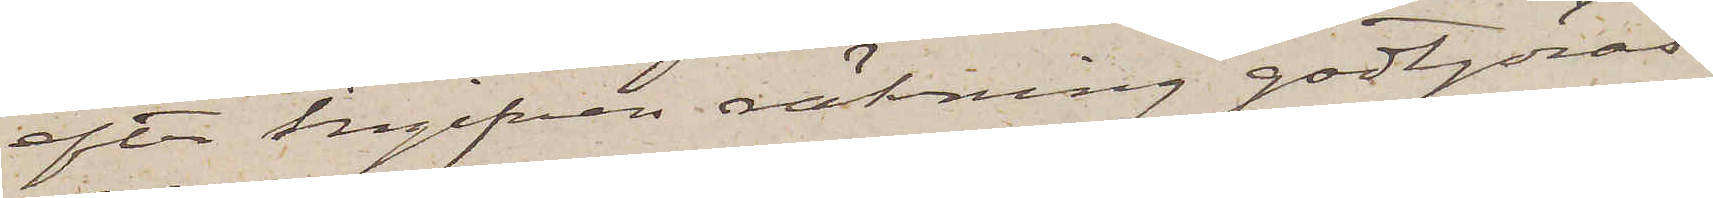efter ingifven räkning godtgöras.
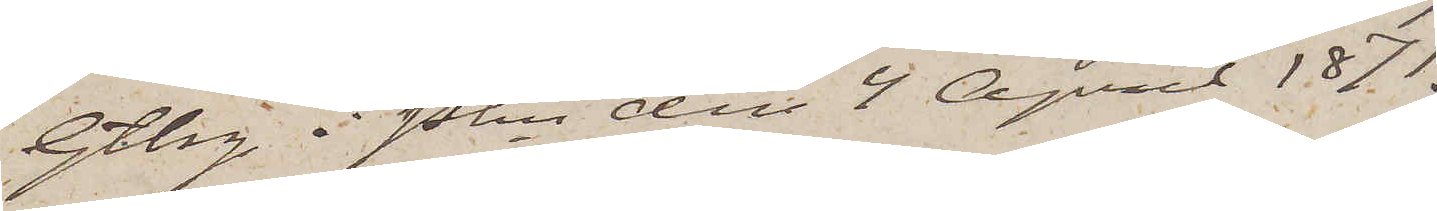Gtbrg i Pkn den 4 April 1871.
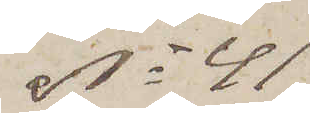No 41
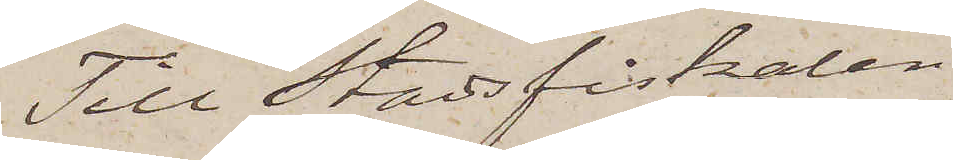Till Stadsfiskalen i
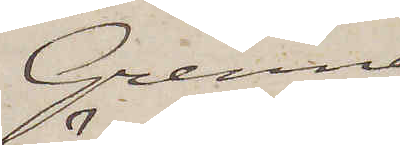Grenna
